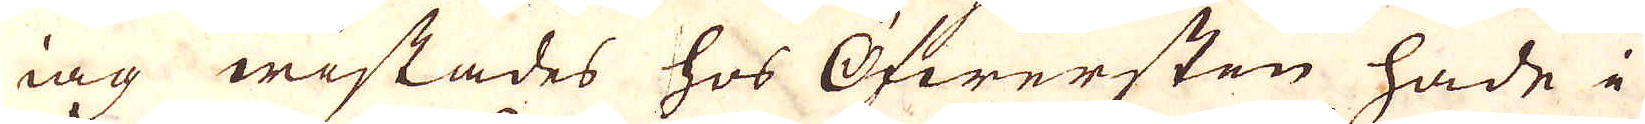iag wistades hos Öfwersten hade i
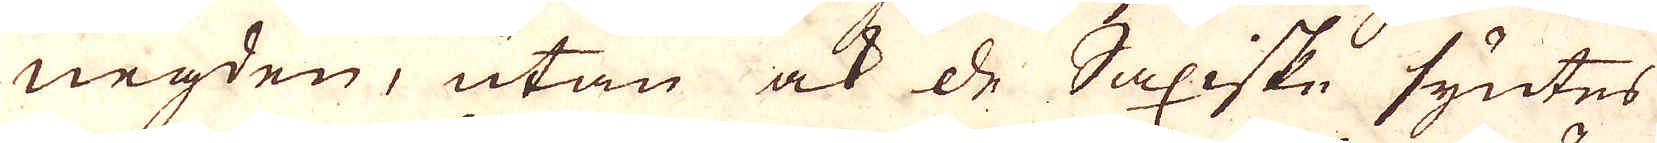negden, utan ock de Saxiske syntes
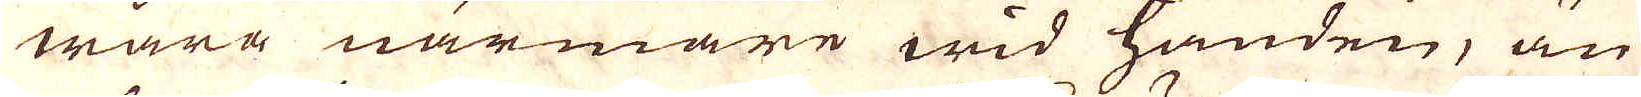wara närmare wid handen, än
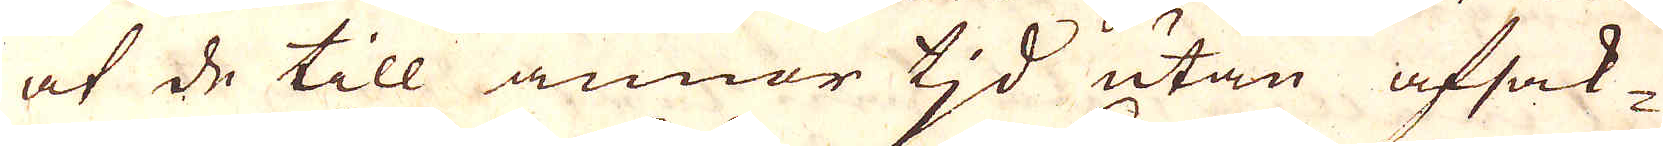at de till annor tjd utan afsak-
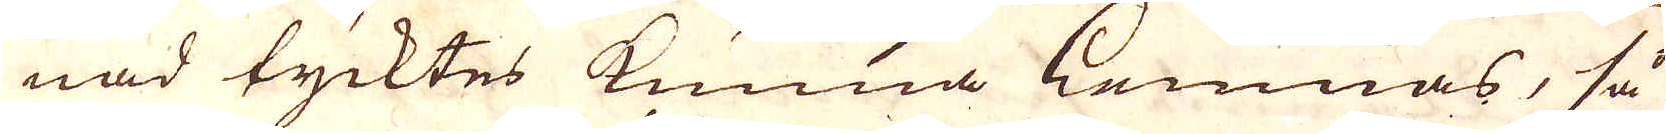nad tycktes kunna lemnas, så
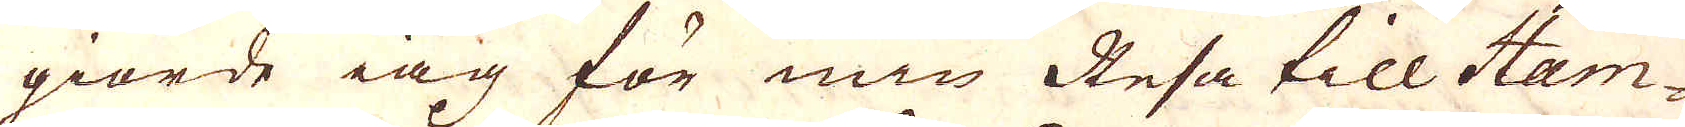giorde iag för min Resa till Ham-
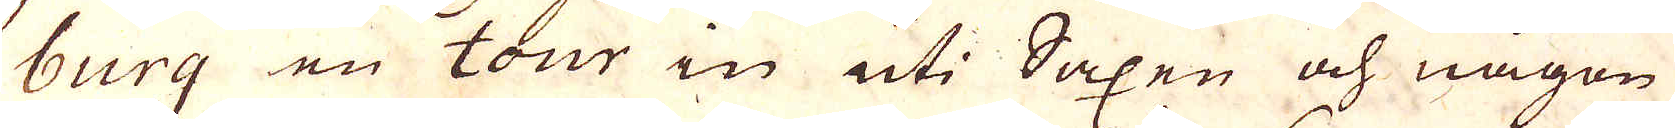burg en tour in uti Saxen och någon
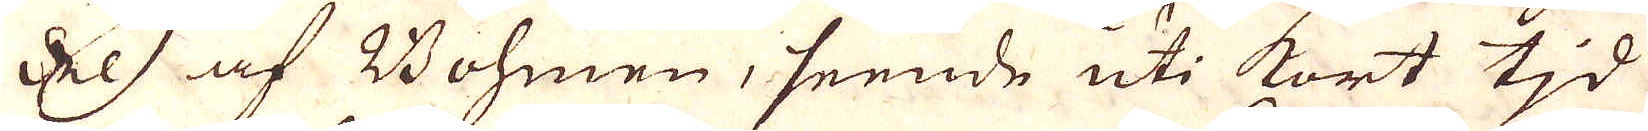dels af Bohmen, seende uti kort tjd
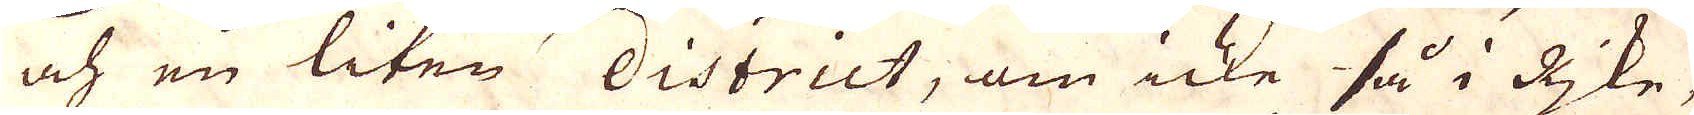och en liten district, om icke så i Rjke,
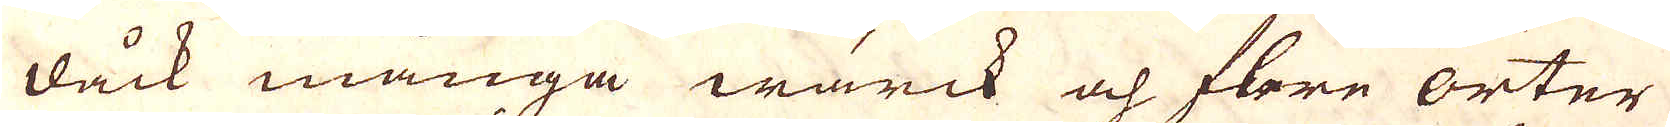dåck många wärck och flere orter
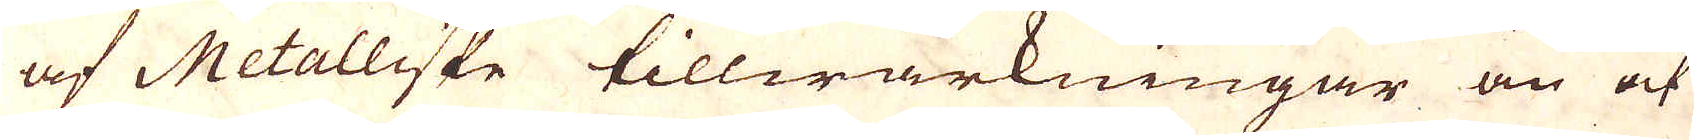af Metalliske tillwärkningar än at
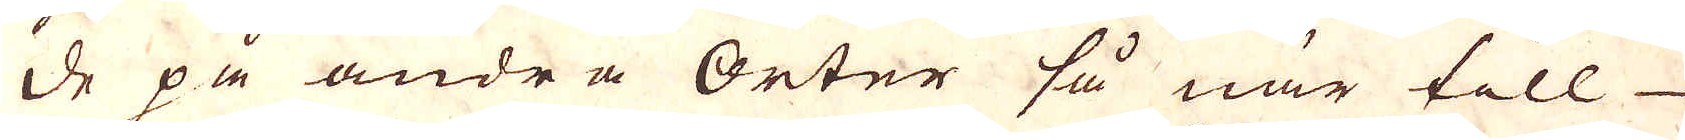de på andra Orter så när till
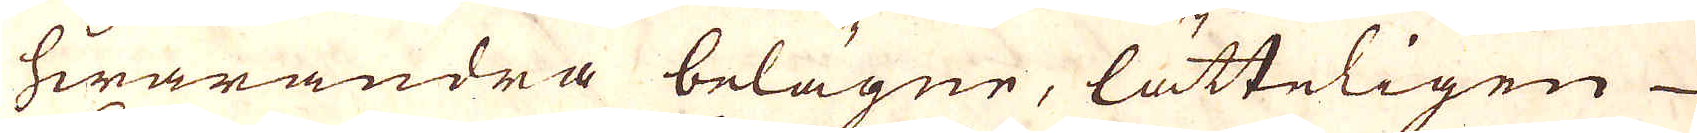hwarandra belägne, lätteligen
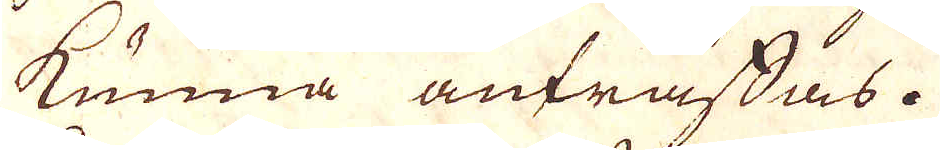kunna anträffas.
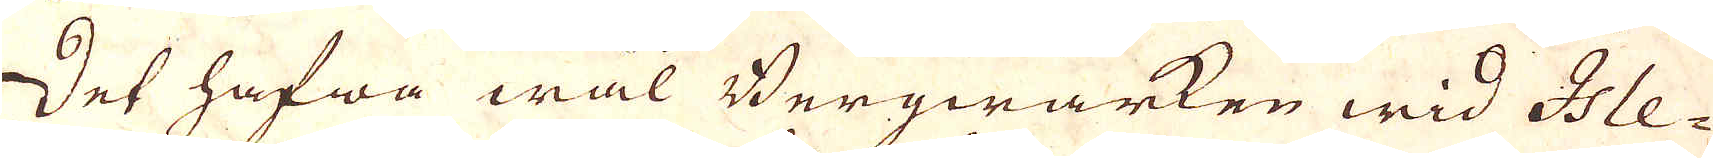Det hafwa wäl Bergwärken wid Ise-
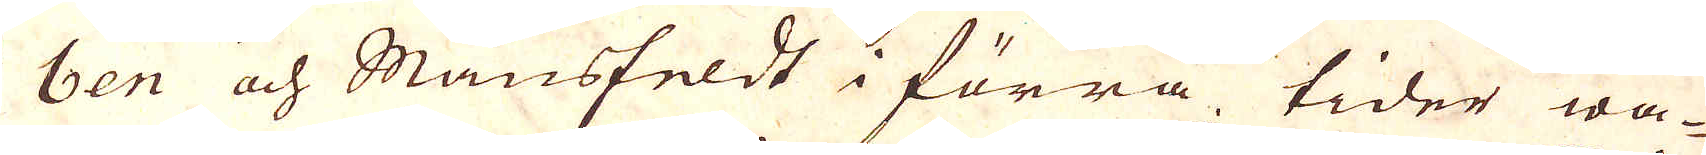ben och Mansfeldt i förra tider wa-
